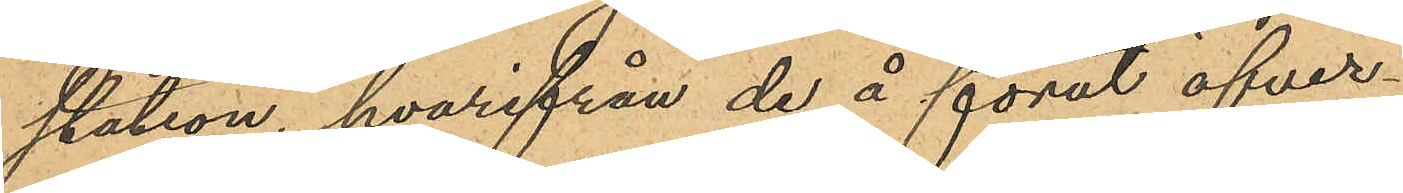station, hvarifrån de å förut öfver¬
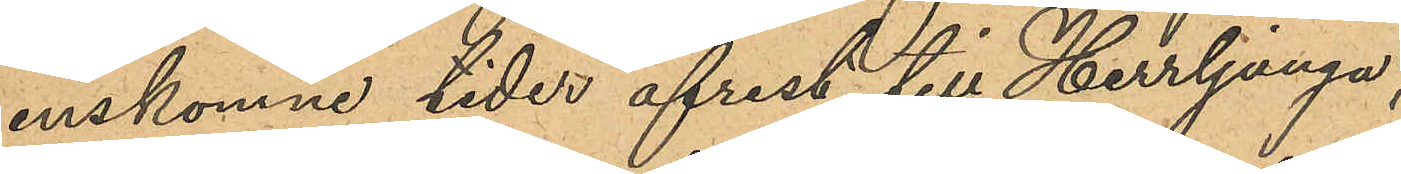enskomne tider afrest till Herrljunga,
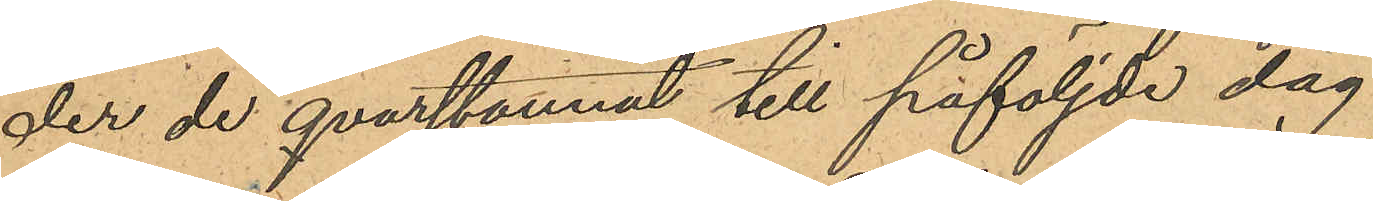der de qvarstannat till påföljde dag
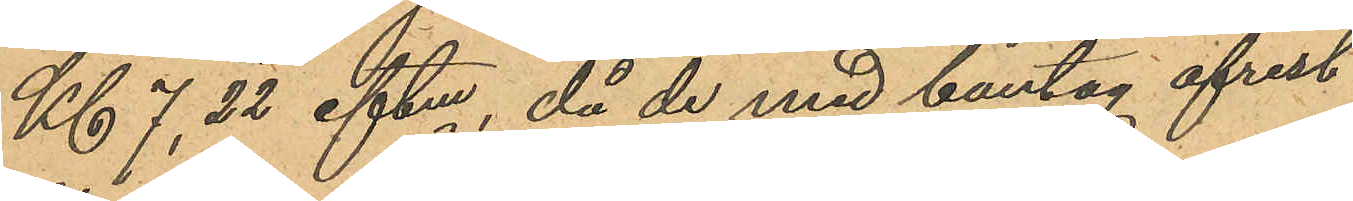Kl 7,22 eftm, då de med bantåg afrest
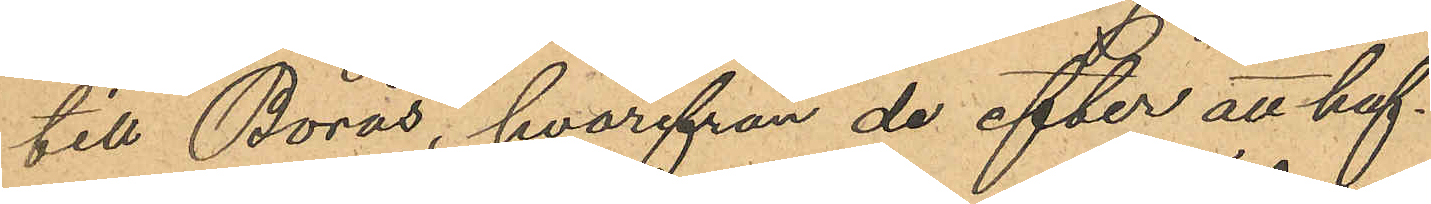till Borås, hvarifrån de efter att haf¬
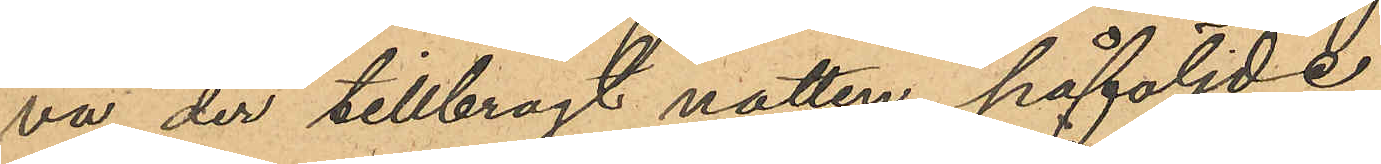va der tillbragt natten, påföljde
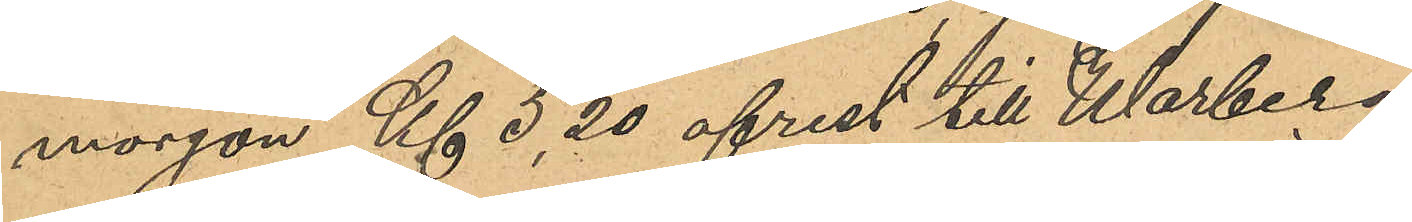morgon Kl 5,20 afrest till Warberg,
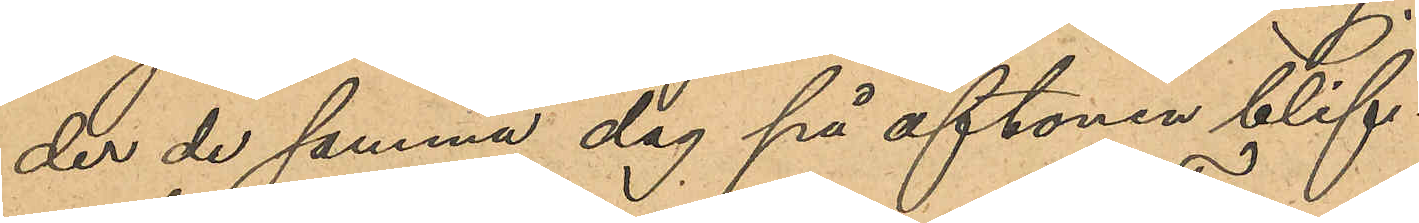der de samma dag på aftonen blif¬
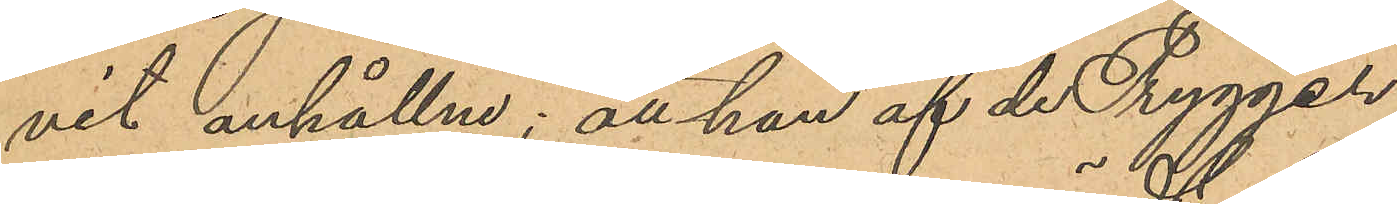vit anhållne; att han af de Trygger
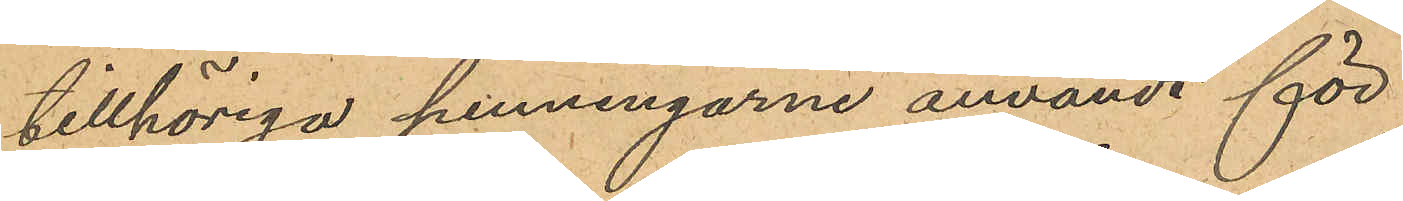tillhöriga penningarne användt för
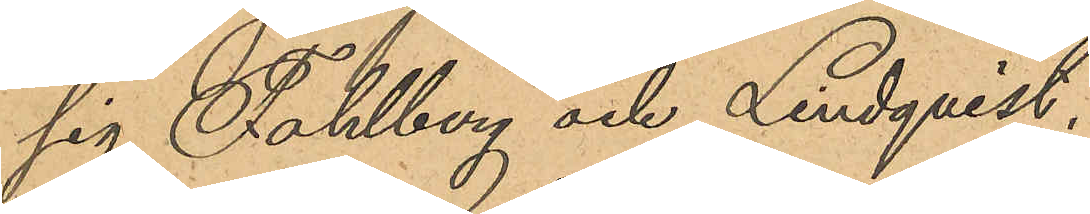sig, Fahlberg och Lindqvist,
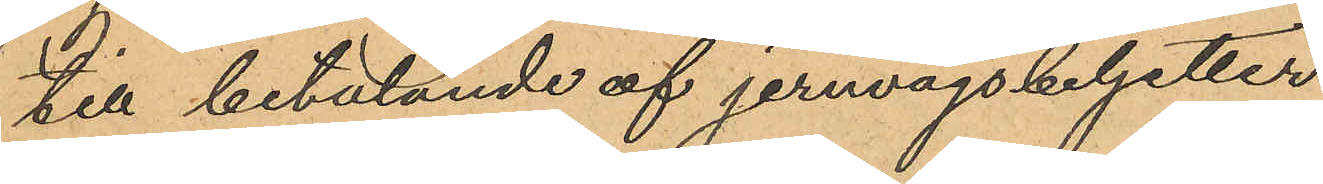till betalande af jernvägsbiljetter
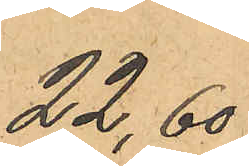22,60
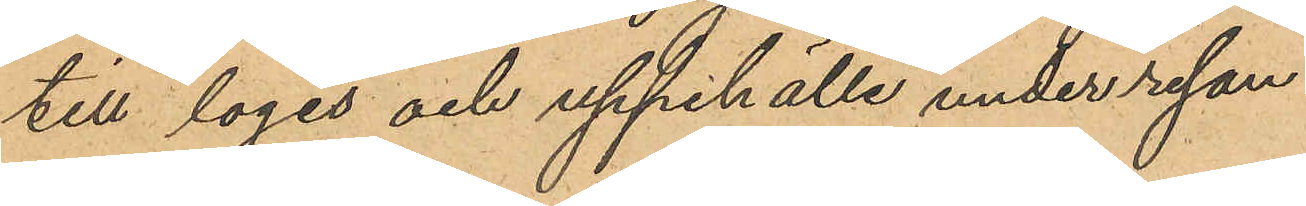till logis och uppehälle under resan
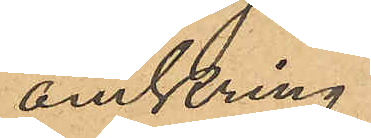omkring
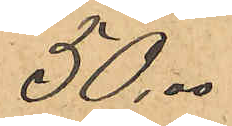50,00
